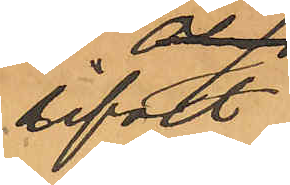lifvet 
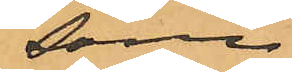som
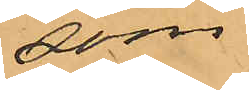som hon
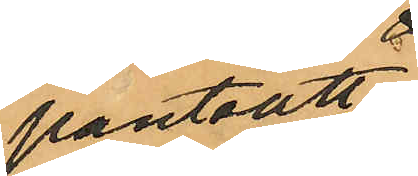pantsatt
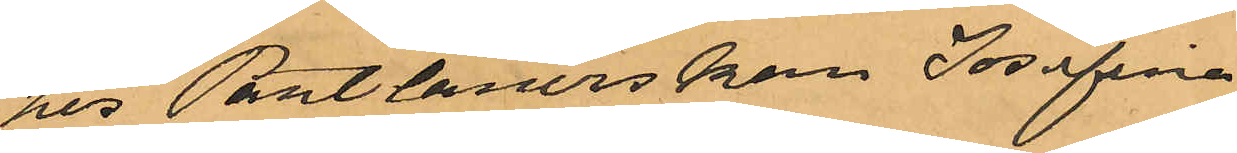hos Pantlånerskan Josefina
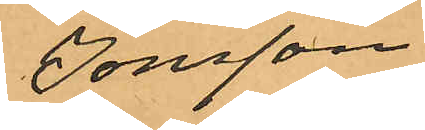Jonsson
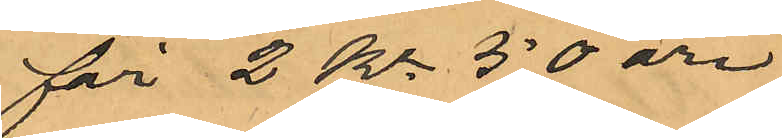för 2 Kr 50 öre,
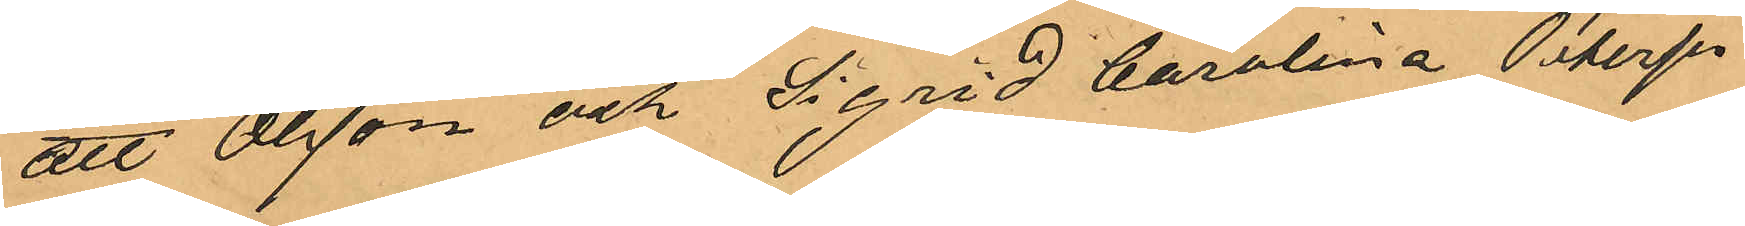att Olsson och Sigrid Carolina Peterson
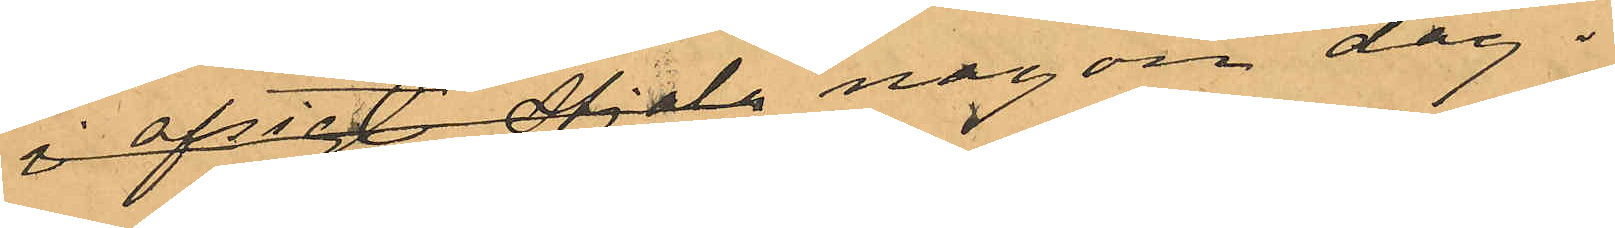i afsigt stjäla, någon dag i
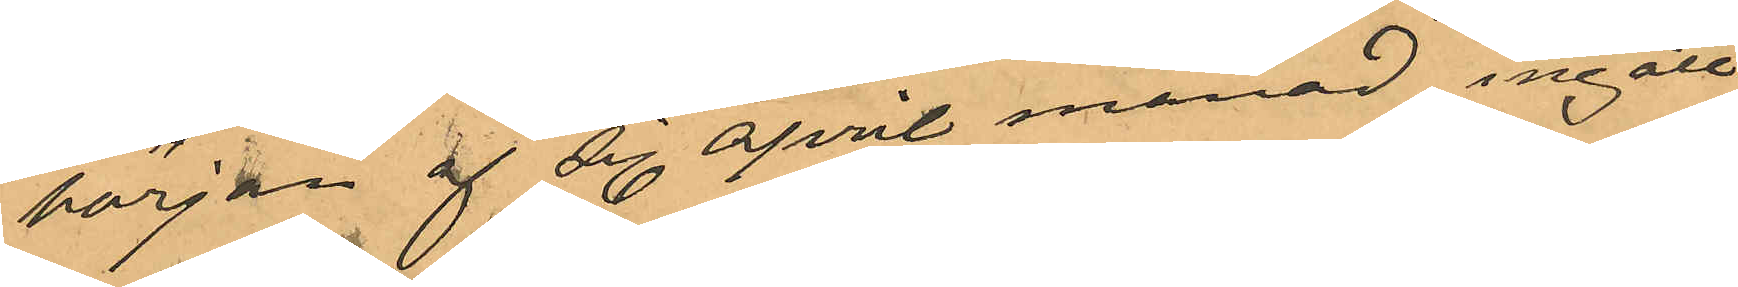början af sist april månad ingått
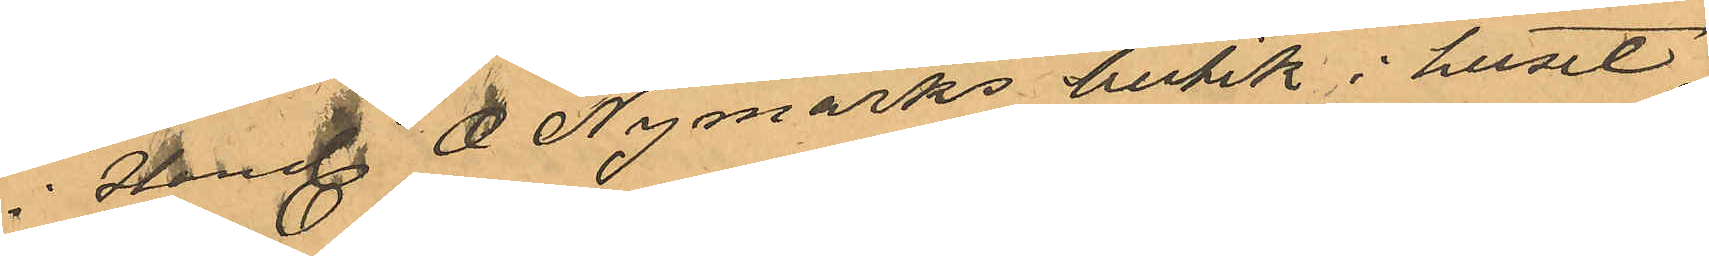i Handl O Nymarks butik i huset
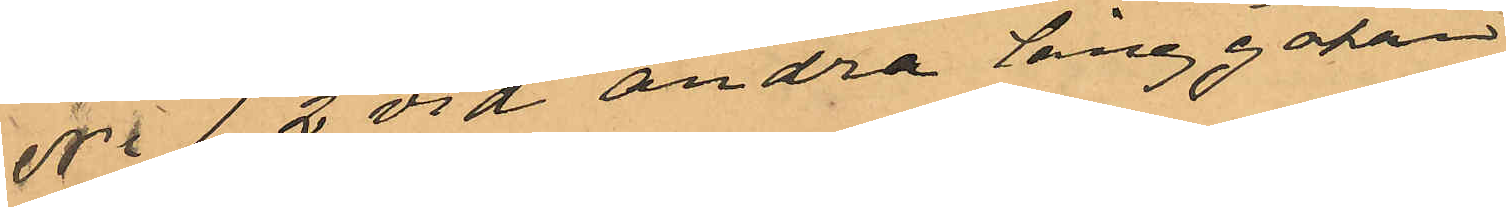No 1, 2 vid andra Långgatan
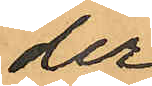der
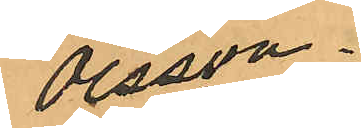Olsson
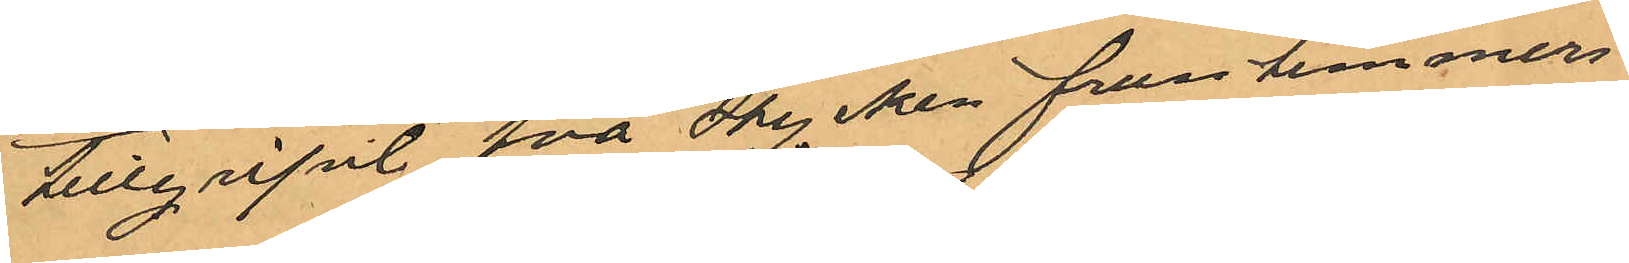tillgripit två stycken fruntimmers¬
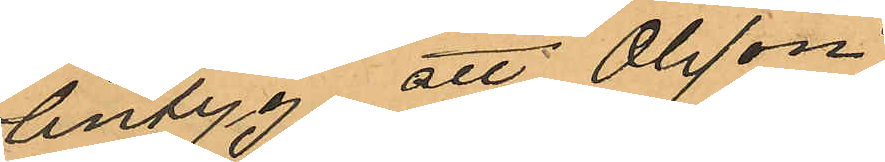lintyg, att Olsson
